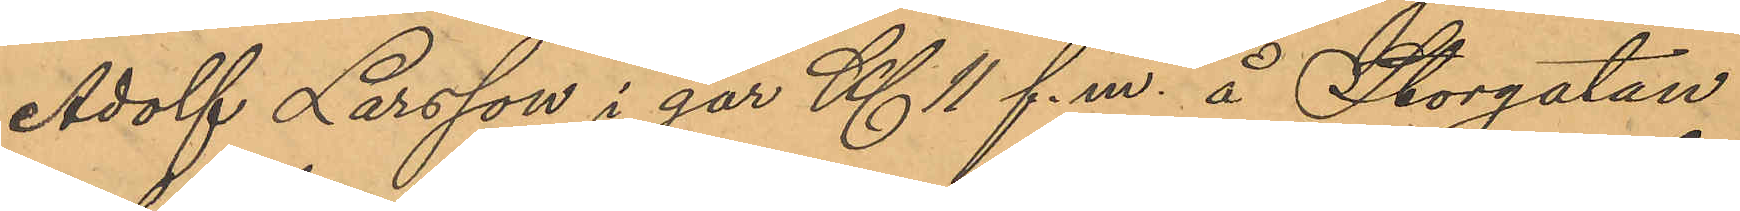Adolf Larsson i går Kl 11 f. m. å Storgatan
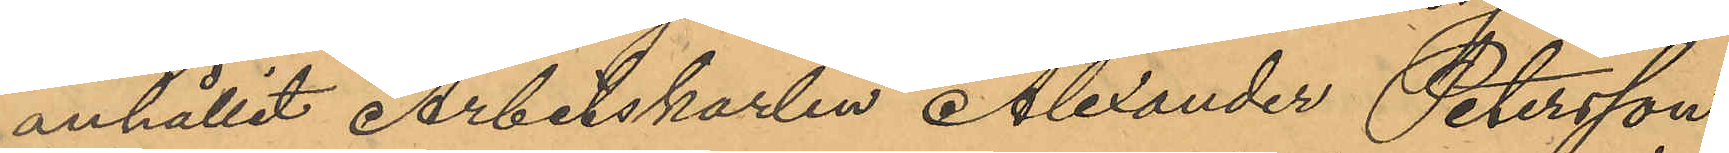anhållit Arbetskarlen Alexander Petersson
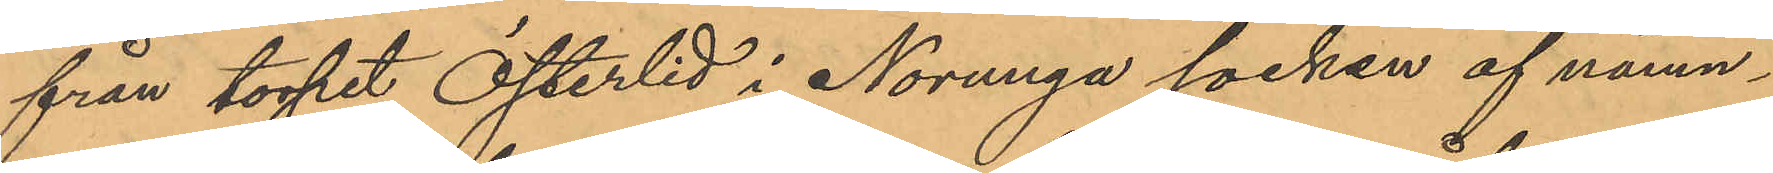från torpet Österlid i Norunga socken af nämn¬
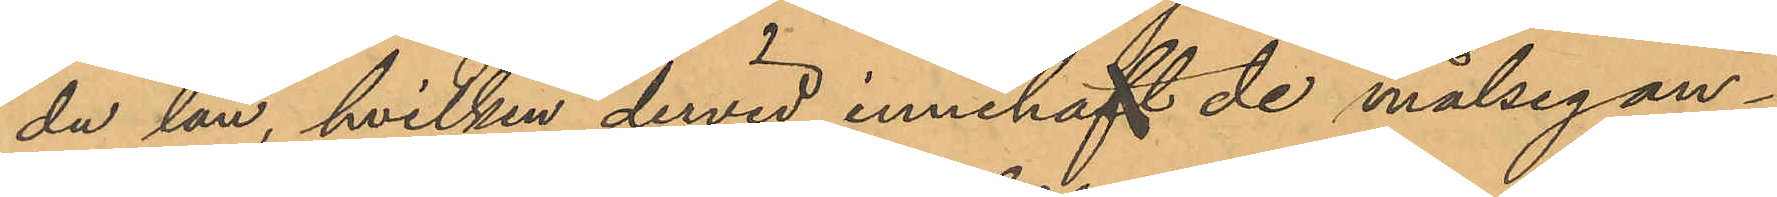da län, hvilken dervid innehaft de målsegan¬
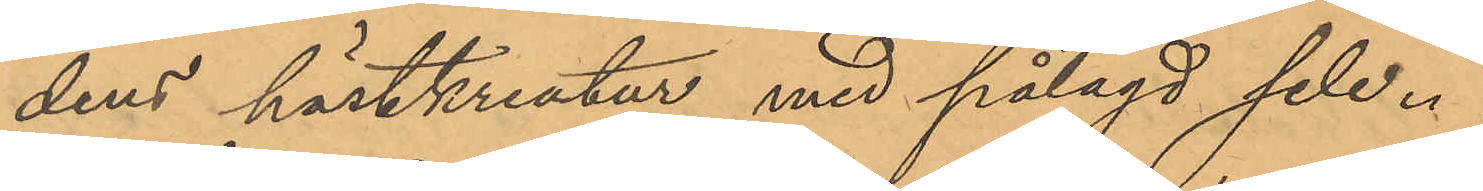dens hästkreatur med pålagd sele.
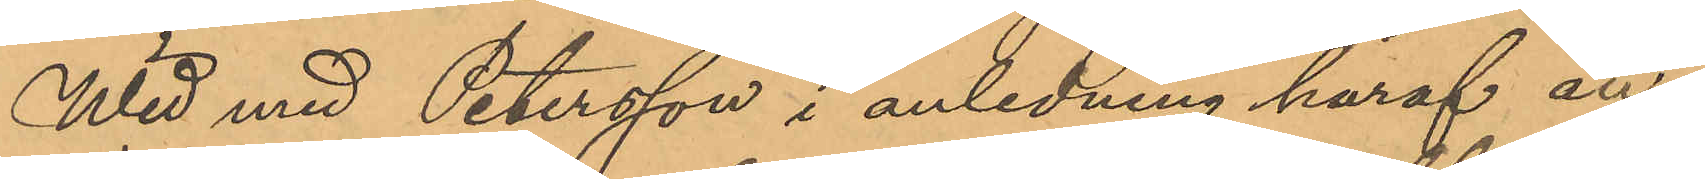Wid med Petersson i anledning häraf an¬
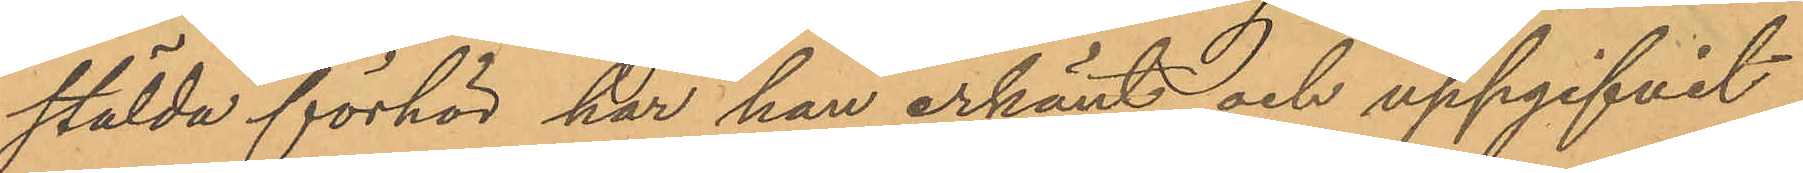stälda förhör har han erkänt och uppgifvit
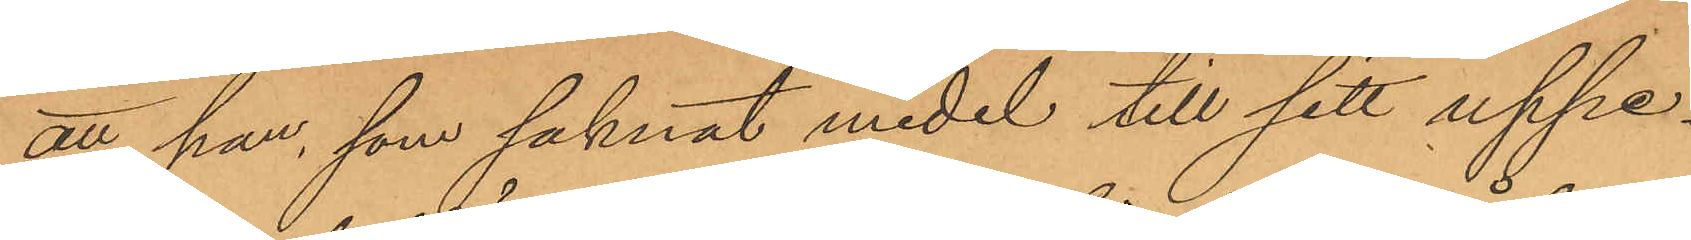att han, som saknat medel till sitt uppe¬
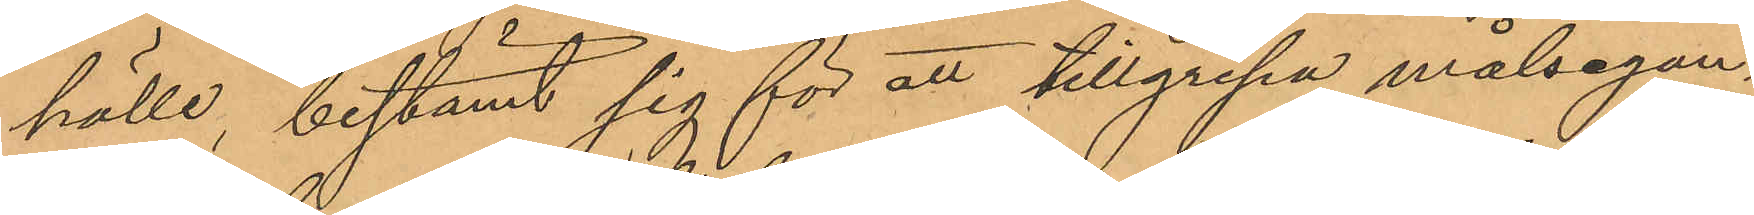hälle, bestämt sig för att tillgripa målsegan¬
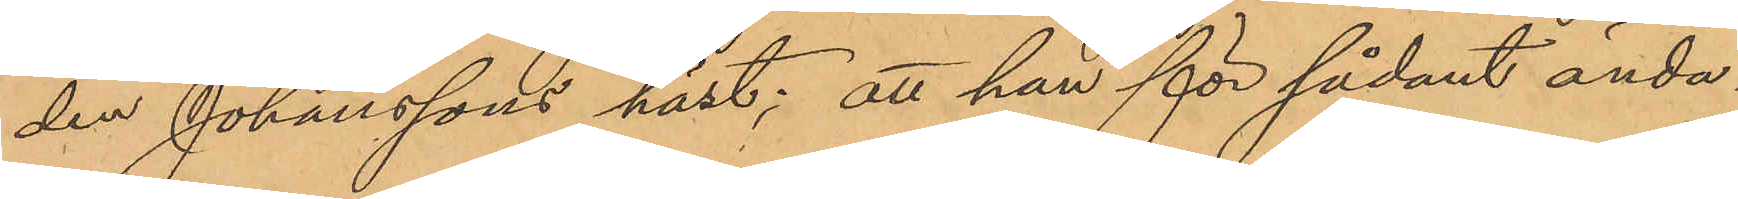den Johanssons häst; att han för sådant ända¬
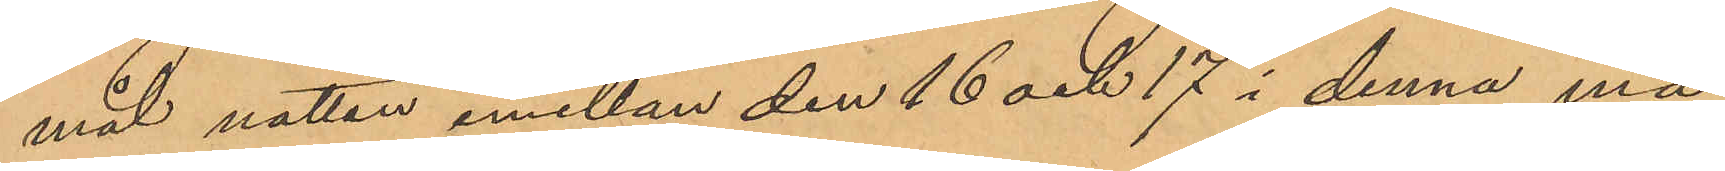mål nattan emellan den 16 och 17 i denna må¬
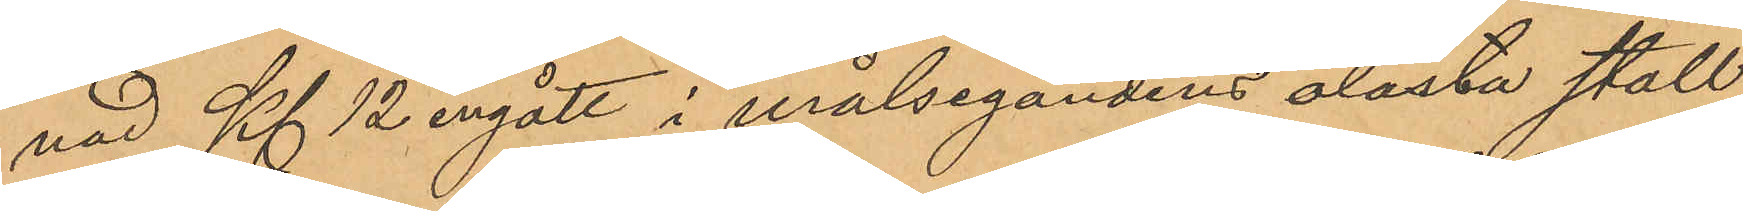nad Kl 12 ingått i målsegandens olåsta stall
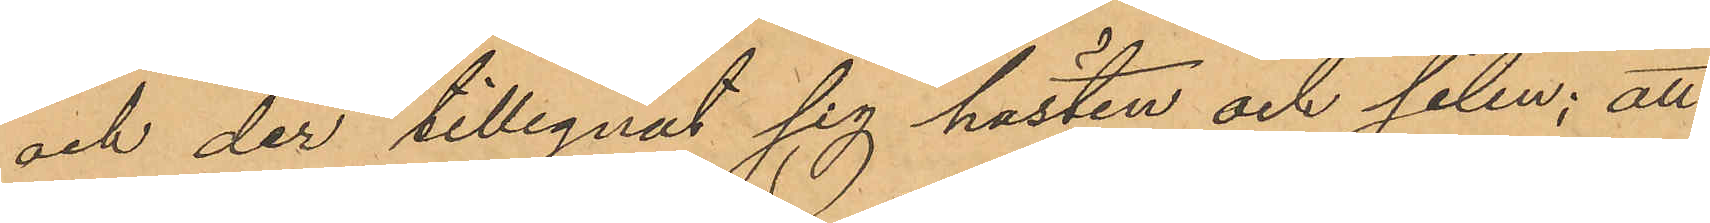och der tillegnat sig hästen och selen; att
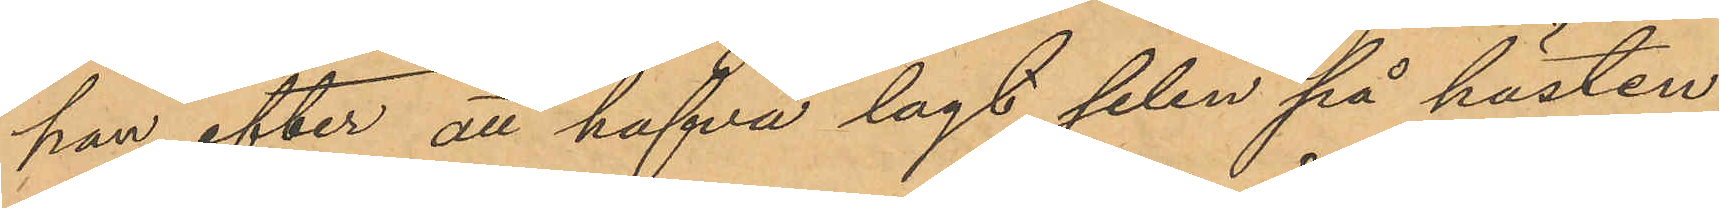han, efter att hafva lagt selen på hästen,
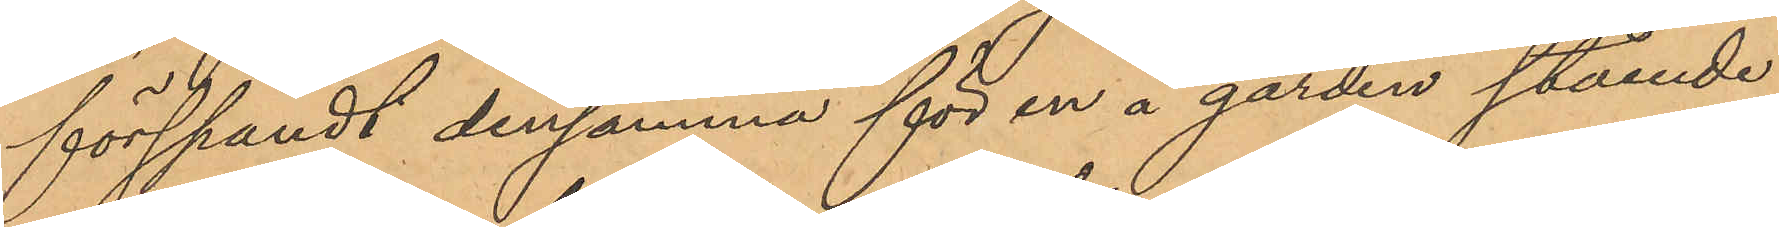förspändt densamma för en å gården stående
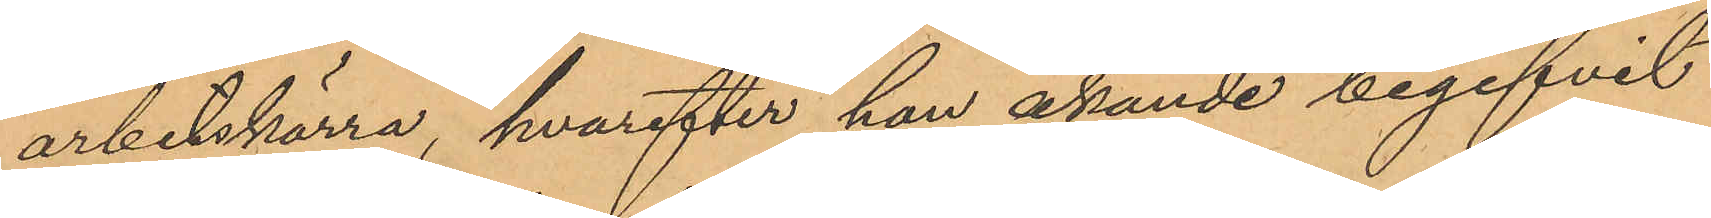arbetskärra, hvarefter han åkande begifvit
